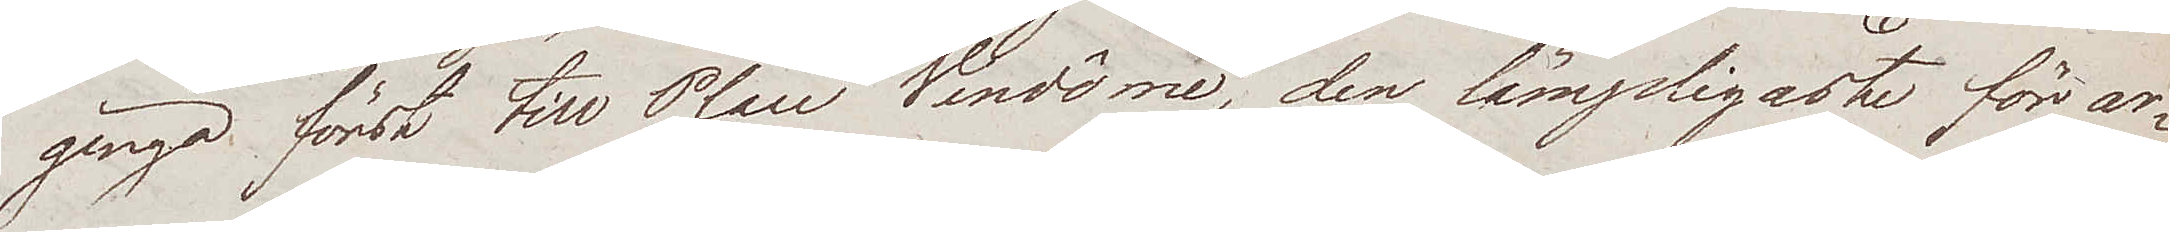gingo först till Place Vendôme, den lämpligaste för ar¬
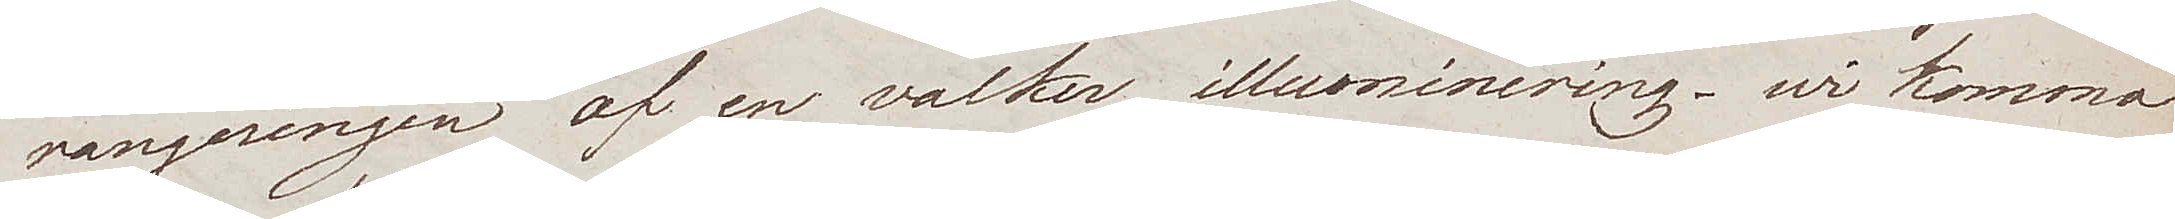rangeringen af en vacker illuminering – wi kommo
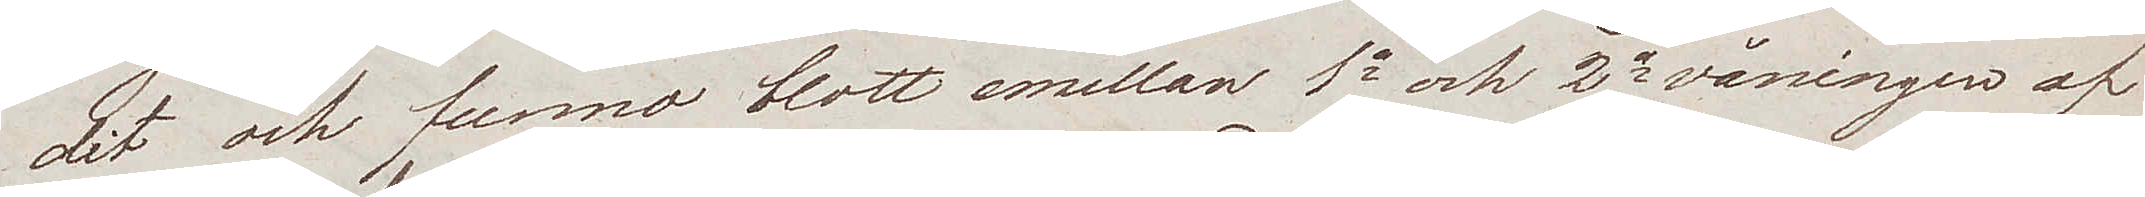dit och funno blott emellan 1a och 2a våningen af
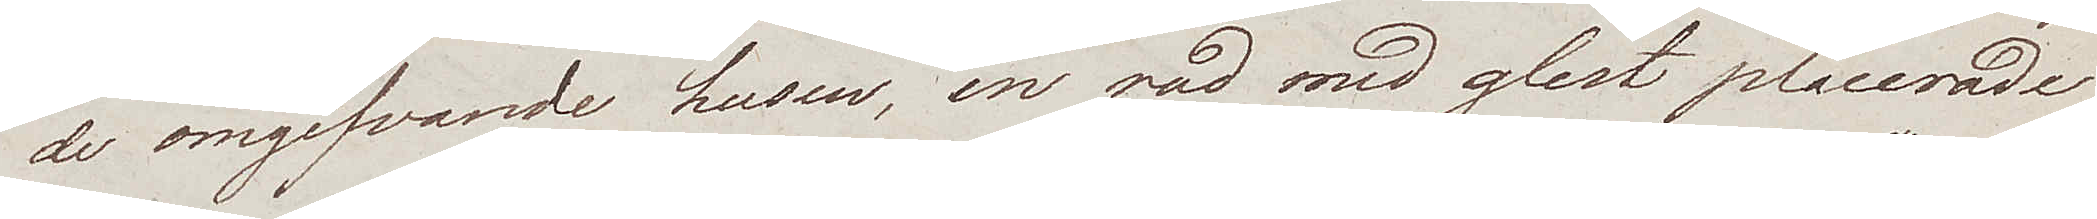de omgifvande husen, en rad med glest placerade
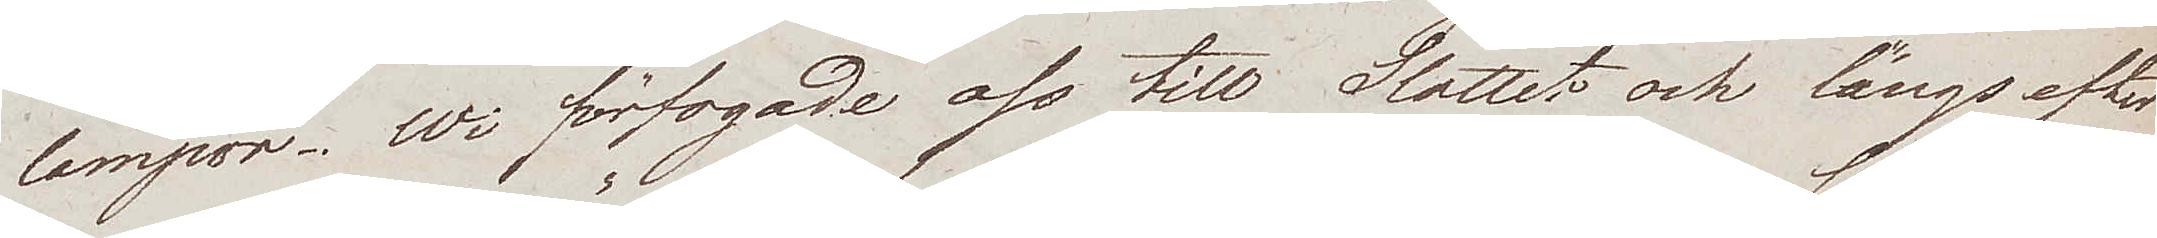lampor. Wi förfogade oss till Slottet och längs efter
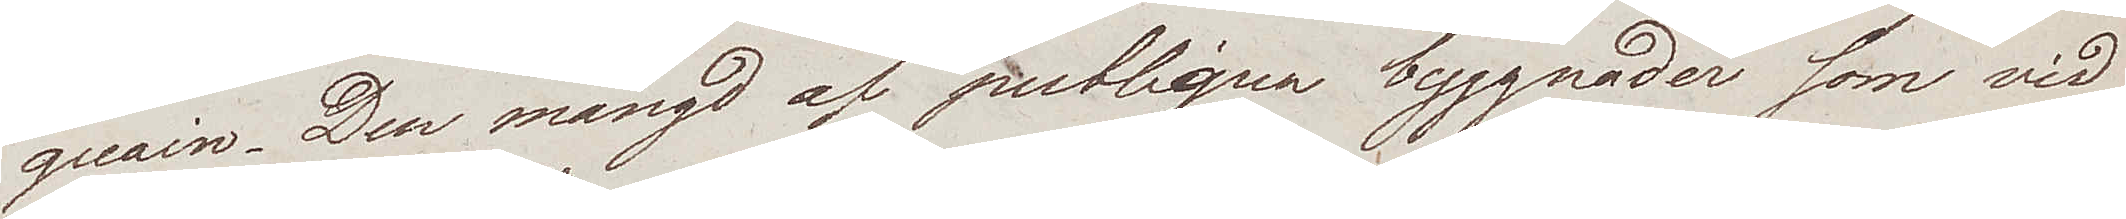quain. Den mängd af publiqua byggnader som vid
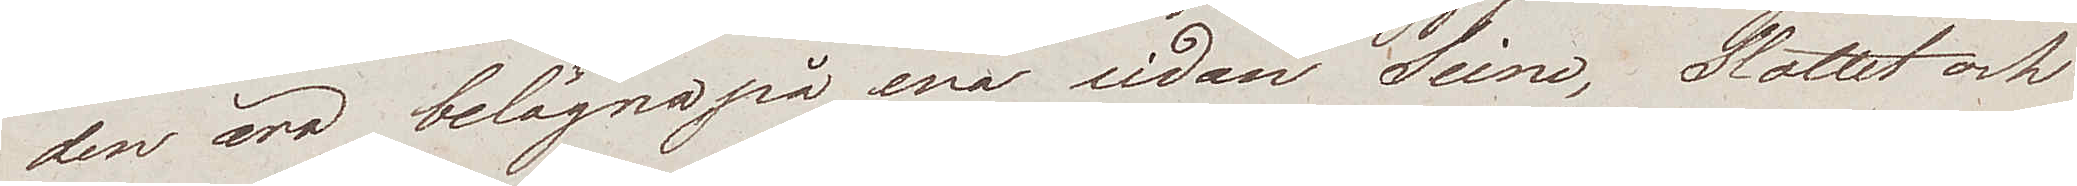den äro belägna på ena sidan Seine, Slottet och
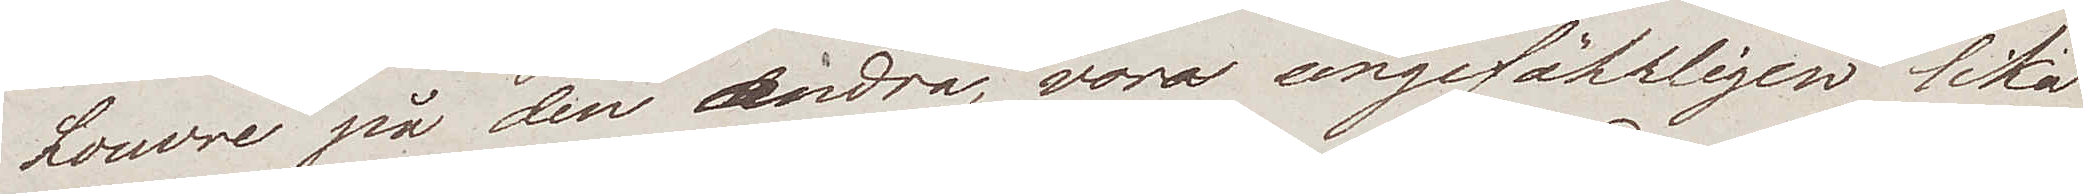Louvre på den andra, voro ungefärligen lika
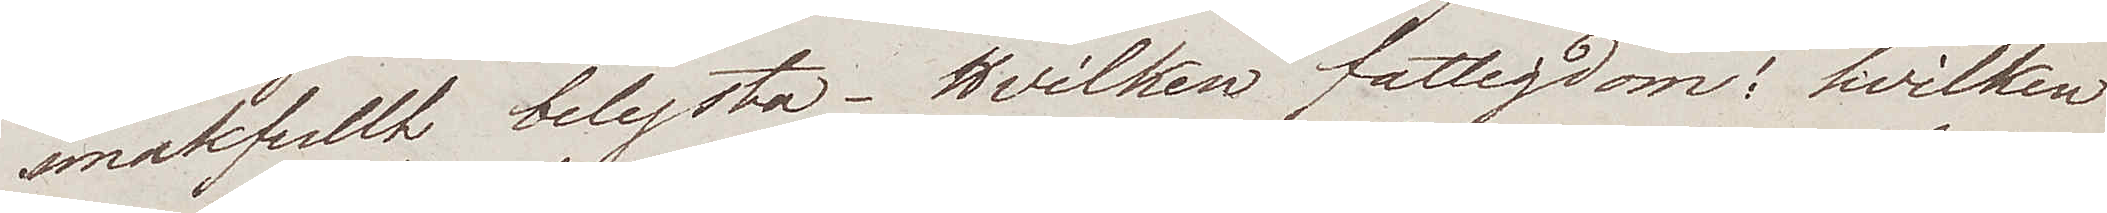smakfullt belysta. Hvilken fattigdom! hvilken
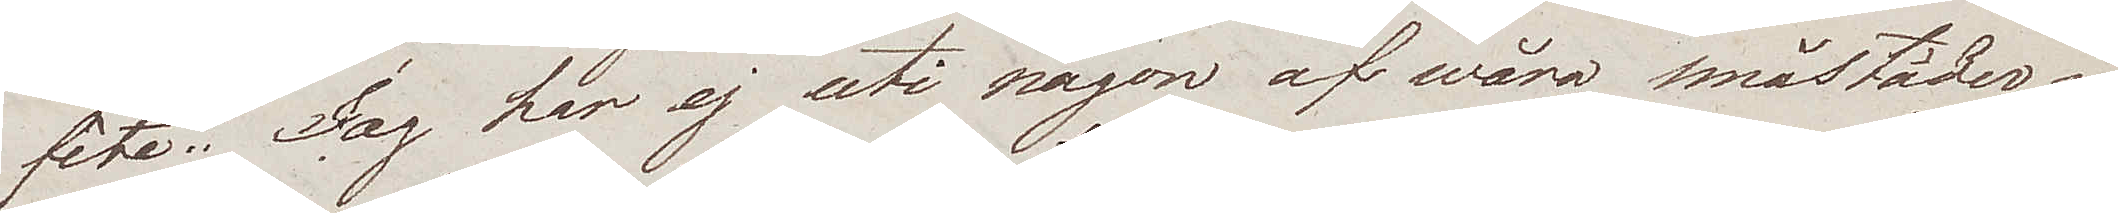fête". Jag har ej uti någon af wåra småstäder i
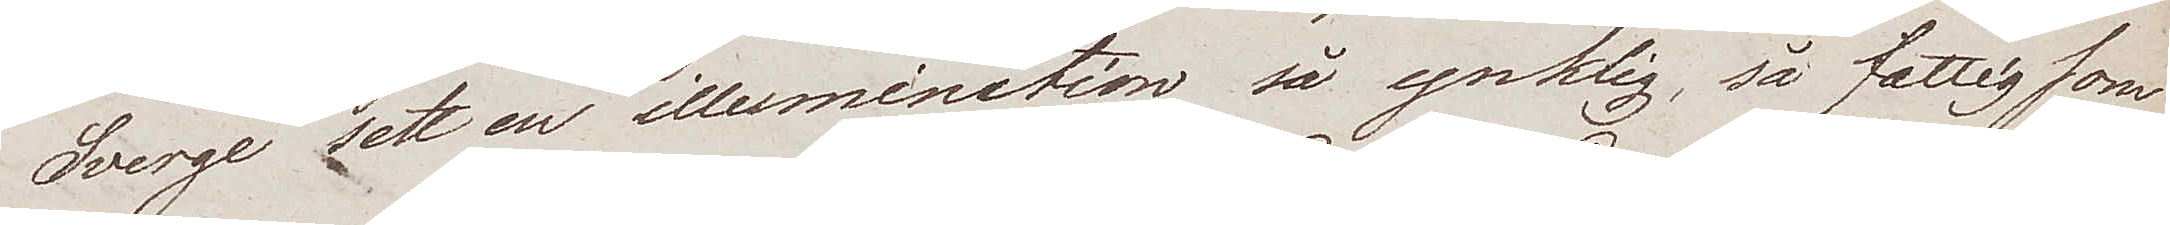Sverge sett en illumination så ynklig, så fattig som
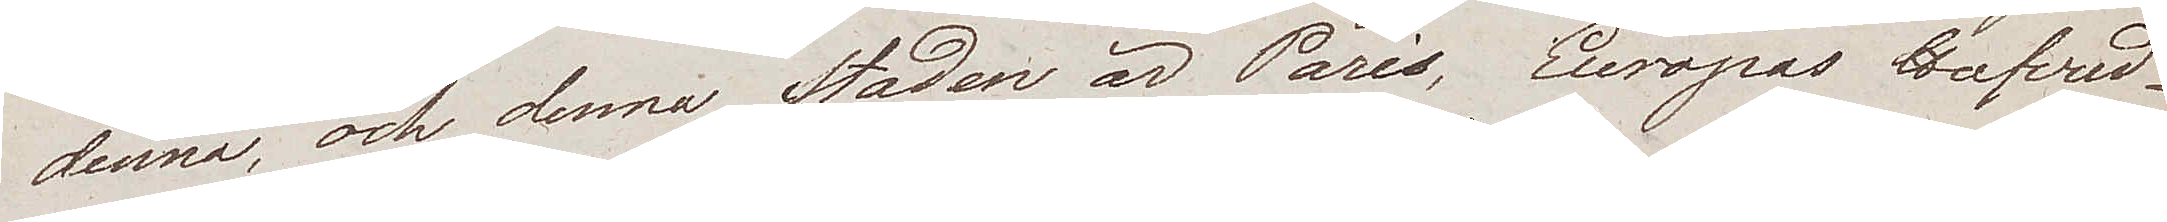denna och denna Staden är Paris, Europas Hufvud¬
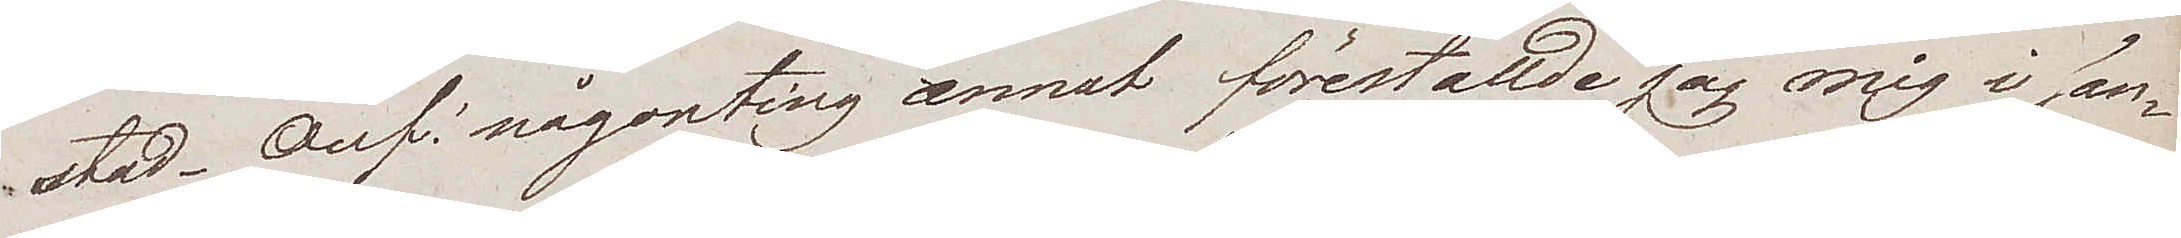stad. Oup! någonting annat föreställde jag mig i san¬
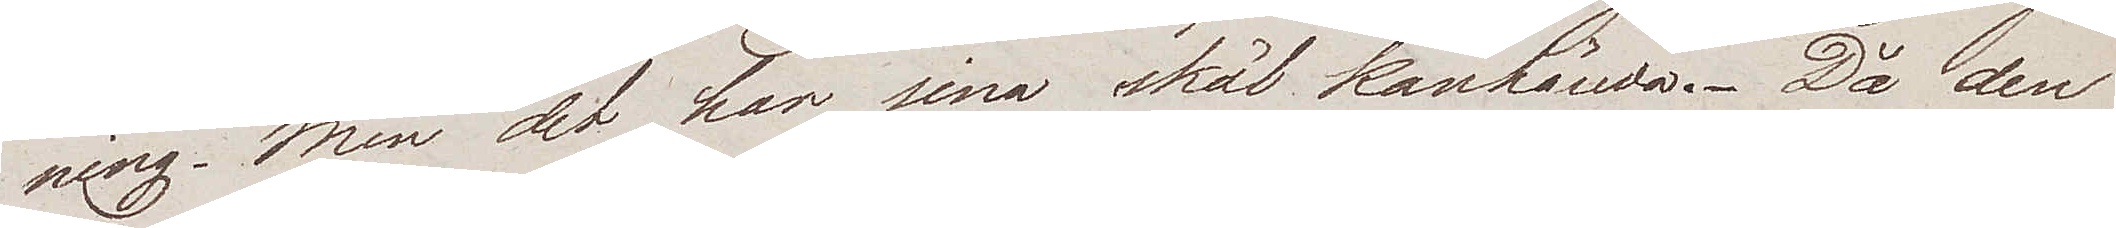ning. Men det har sina skäl kanhända. Då den
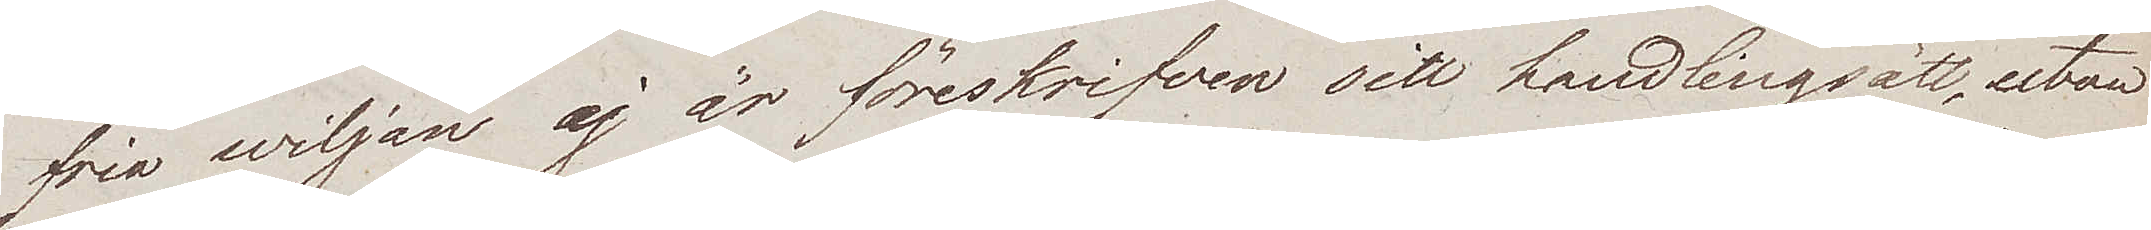fria wiljan ej är föreskrifven sitt handlingsätt, utan
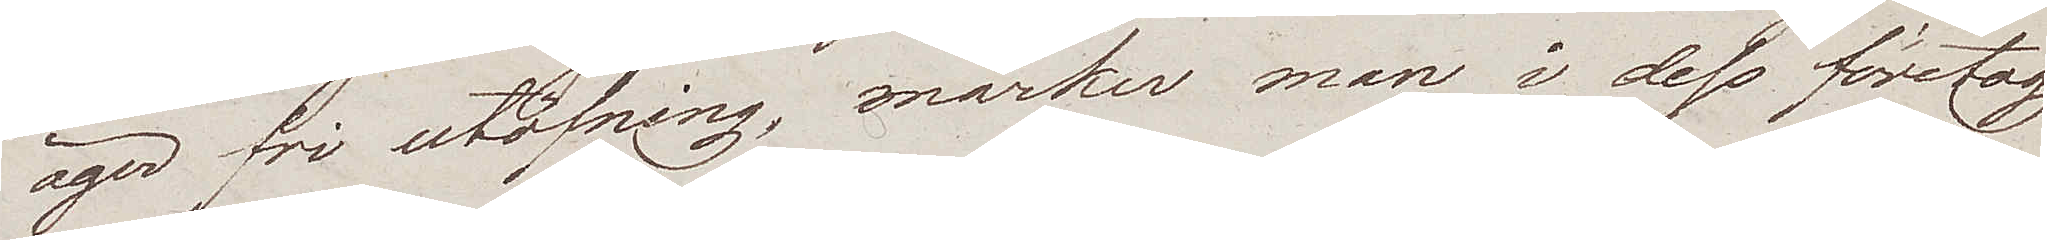äger fri utöfning, märker man i dess företag
